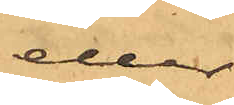eller
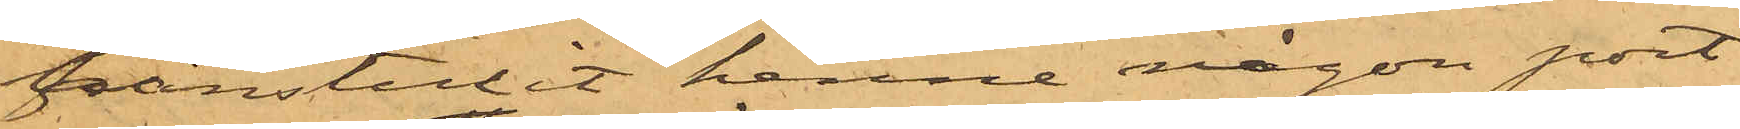frånstulit henne någon port¬
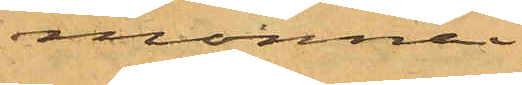monnai;
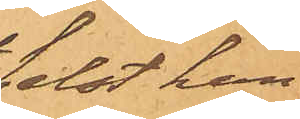helst han,
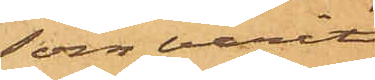som varit
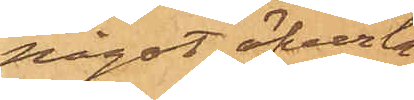något öfverla¬
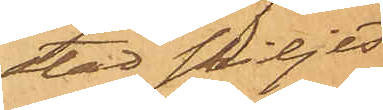stad skiljts
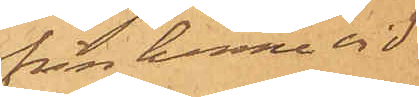från henne vid
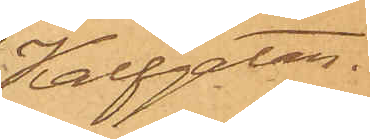Kalfgatan
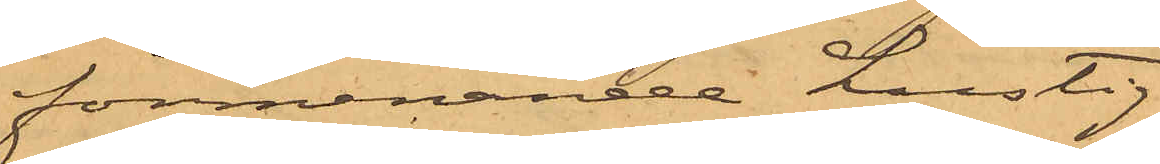förmenande Lustig
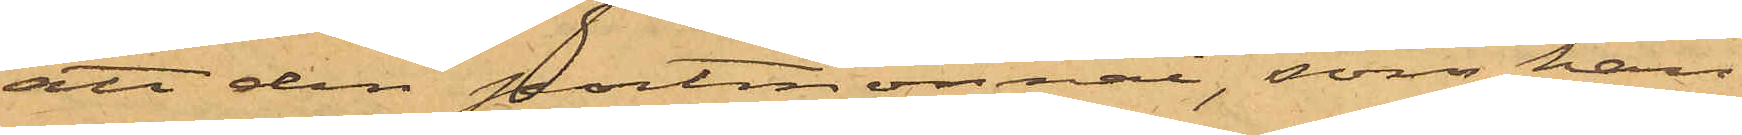att den portmonnai, som han
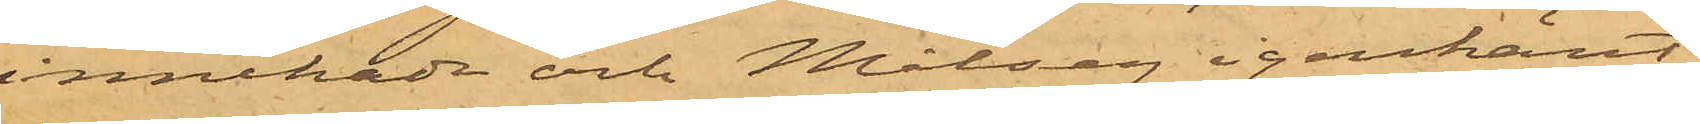innehade och Målseg igenkänt
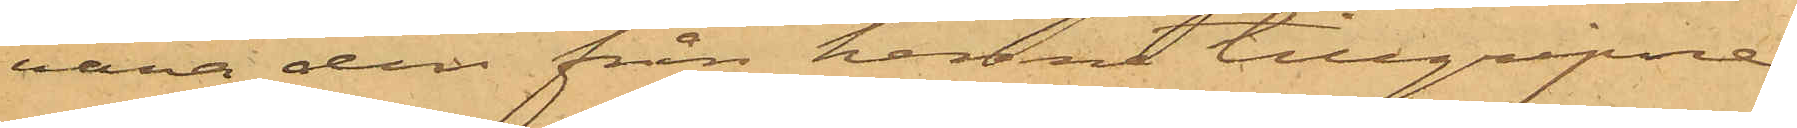vara den från henne tillgripne
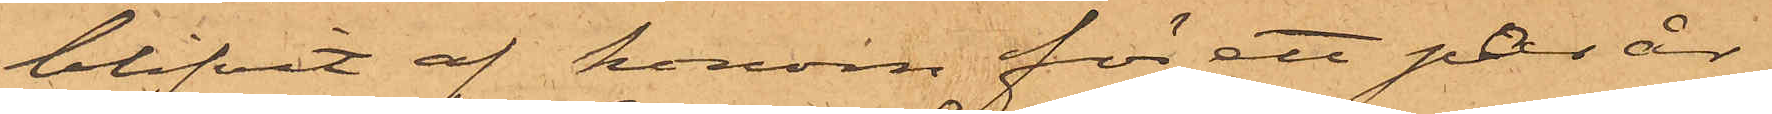blifvit af honom för ett par år
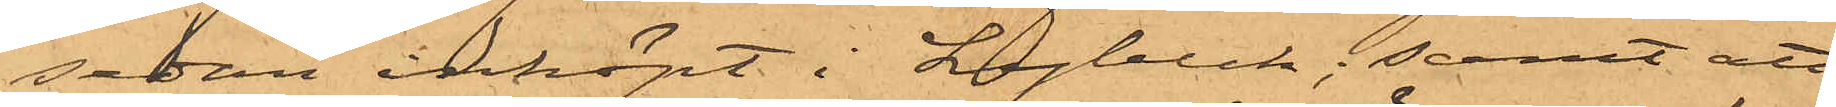sedan inköpt i Lybeck; samt att
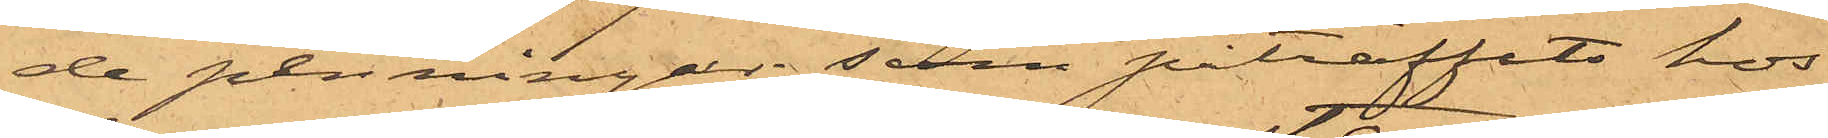de penningar, som påträffats hos
